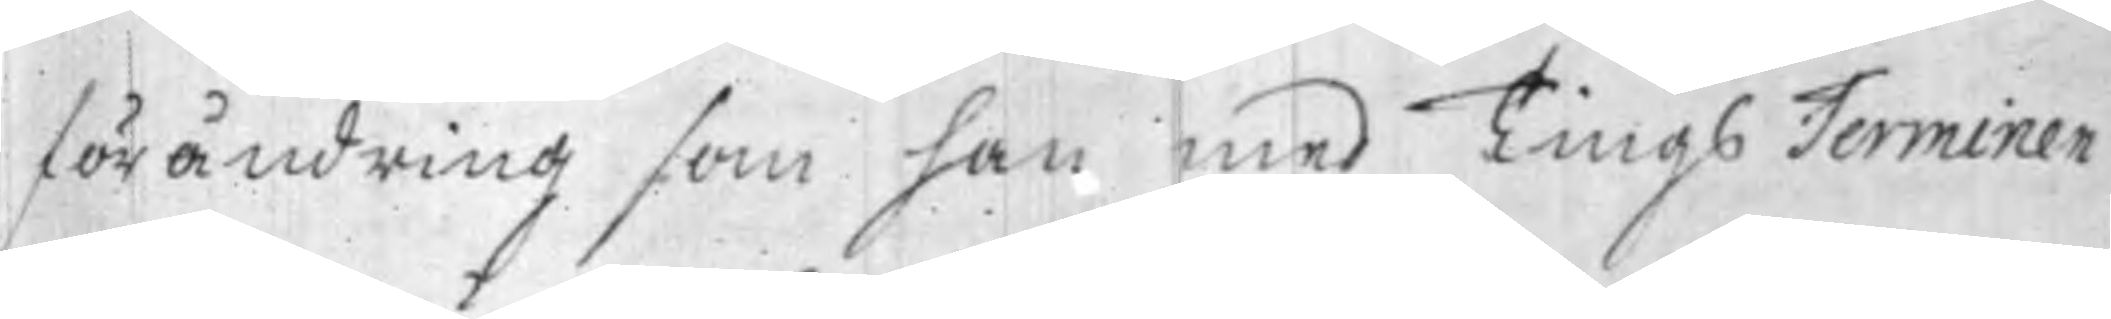förändring som han med Tings Terminen
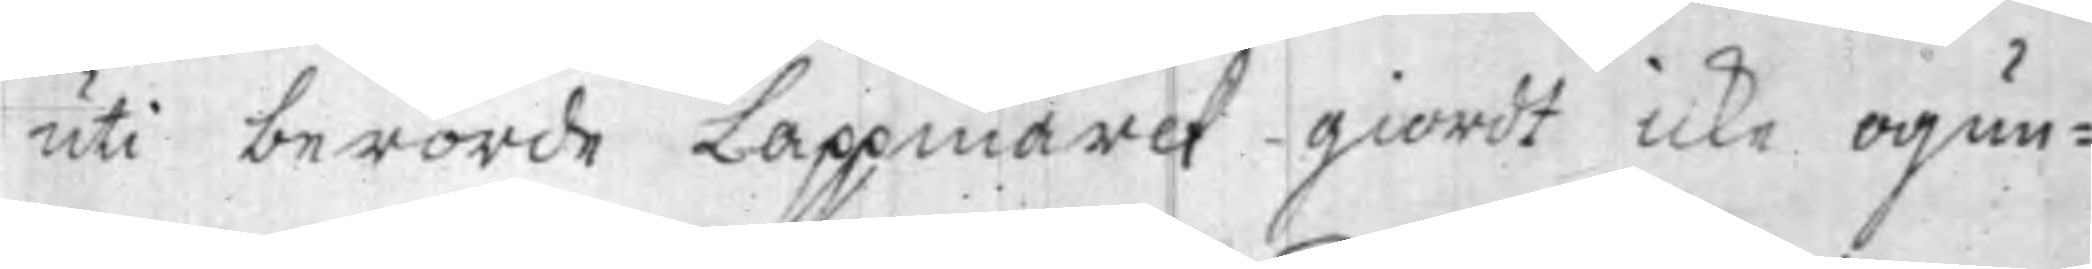uti berörde Lappmarck giordt icke ogun¬
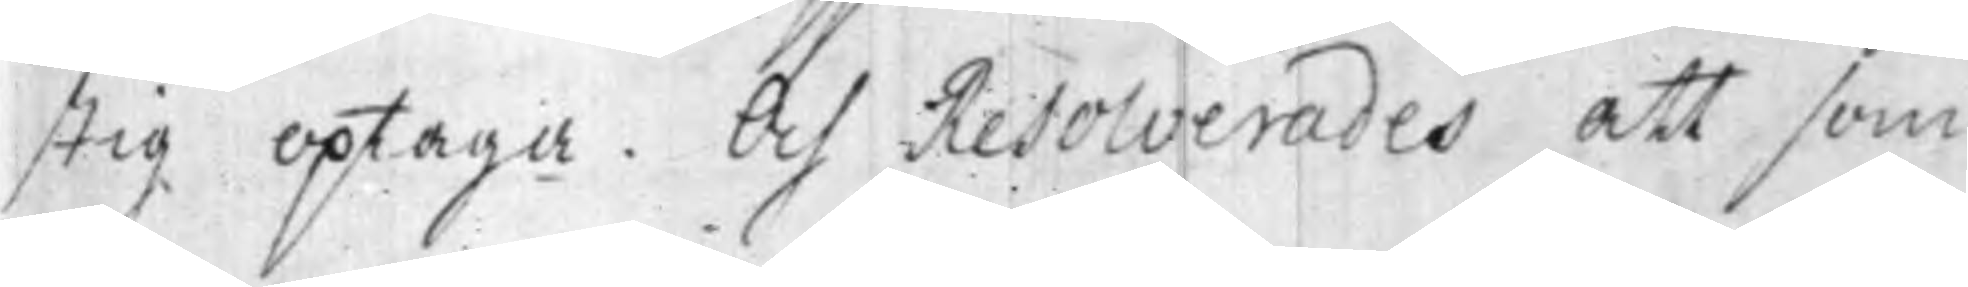stig optaga. Och Resolverades att som
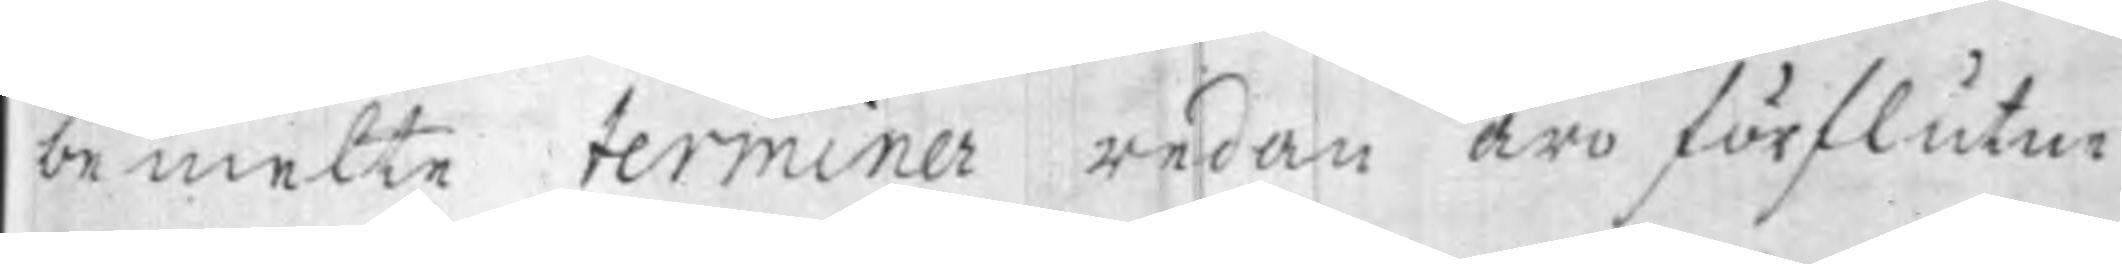bemelte terminer redan äro förflutne
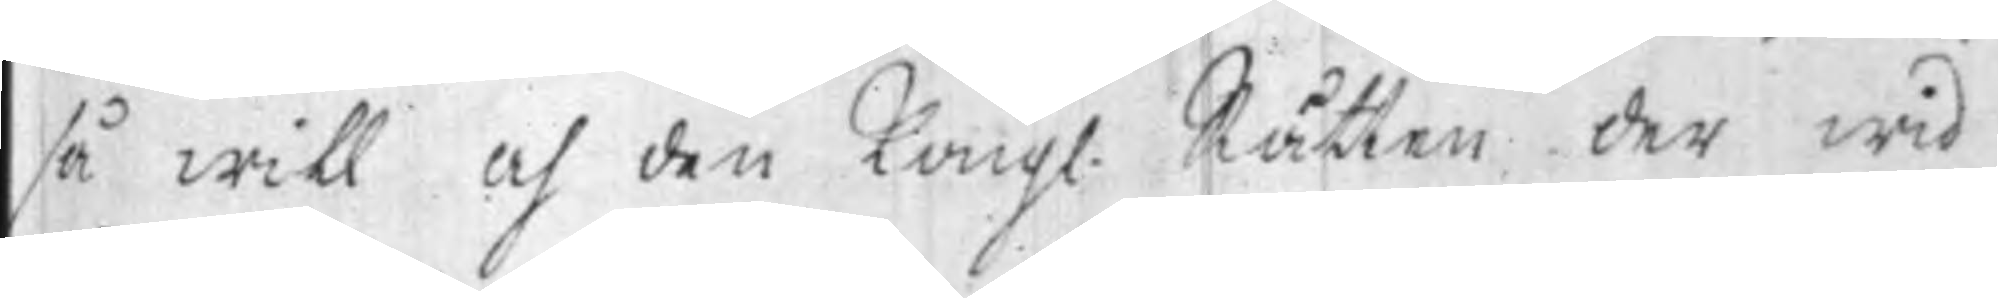så will och den Kongl. Rätten der wid
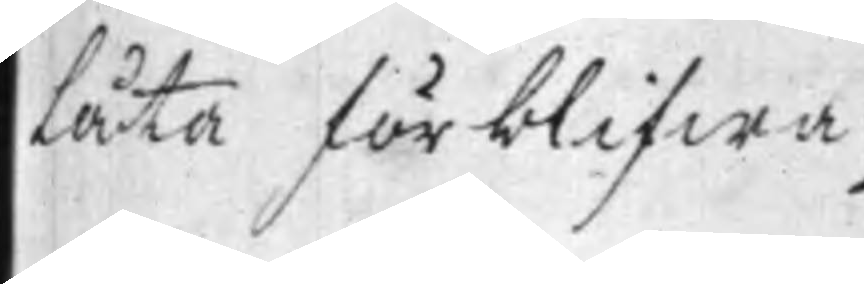låta förblifwa. ./.
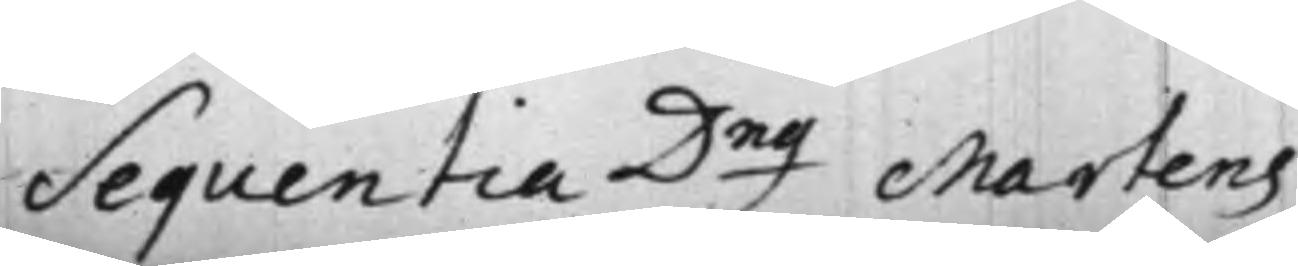Sequentia D.ng Martens
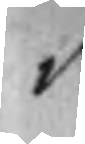v
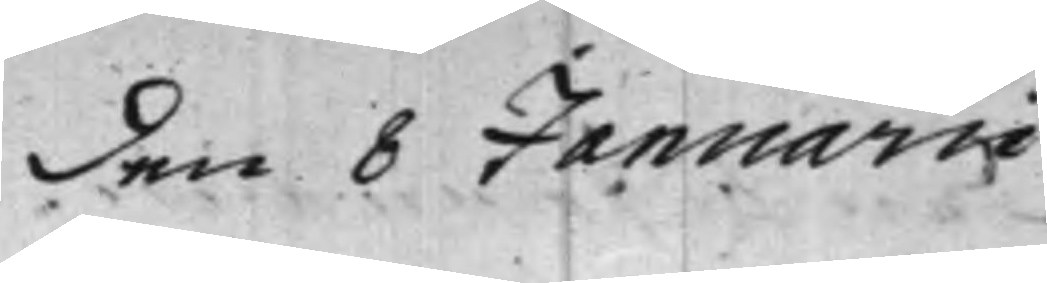den 8 Januarii.
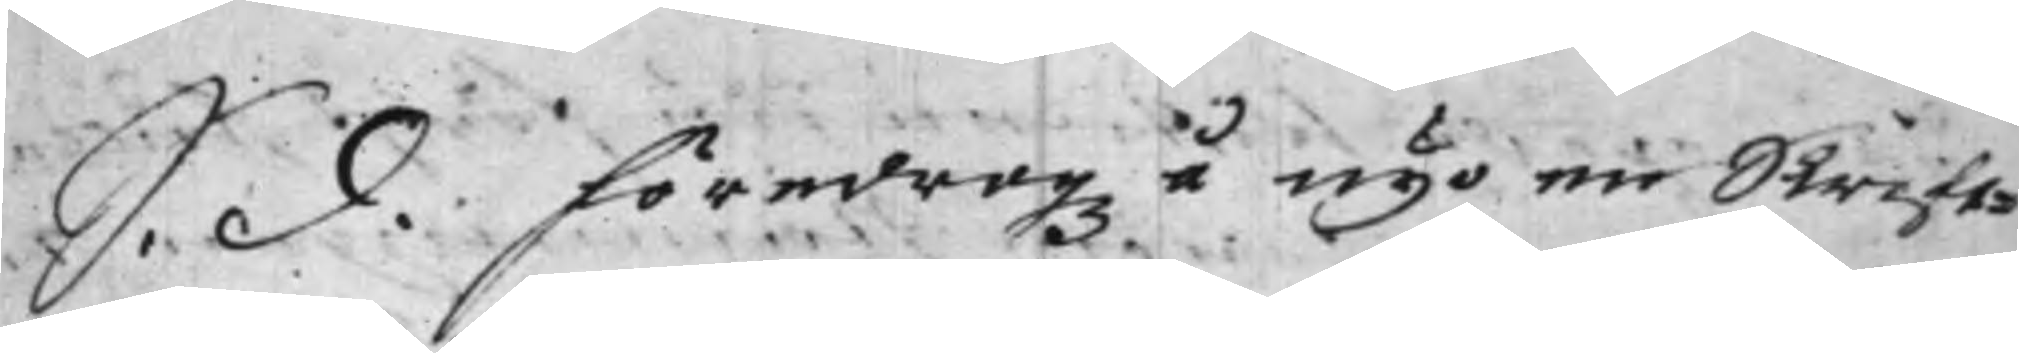S. d. föredrogz å nyo en Skrift¬
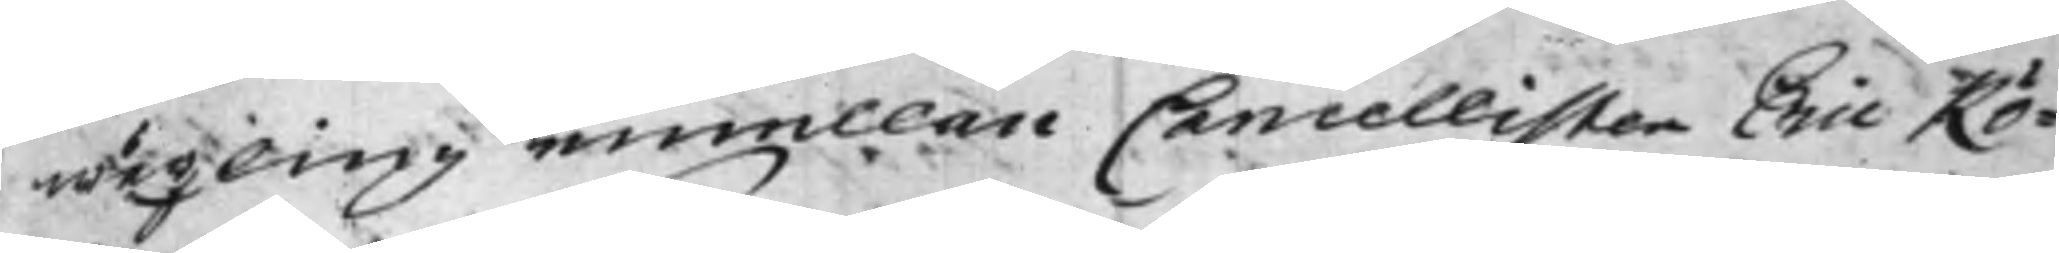wäxling imellan Cancellisten Eric Rö¬
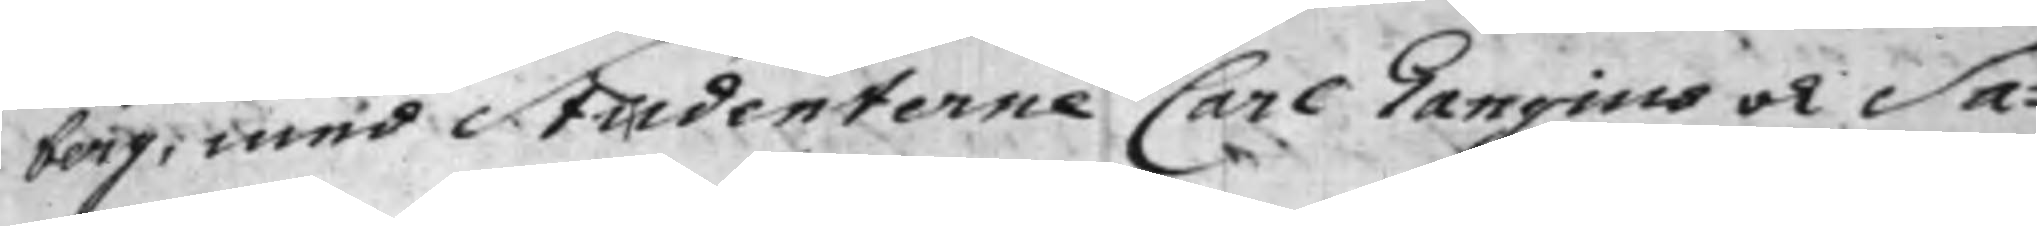berg, med Studenterne Carl Gangius och Sa¬
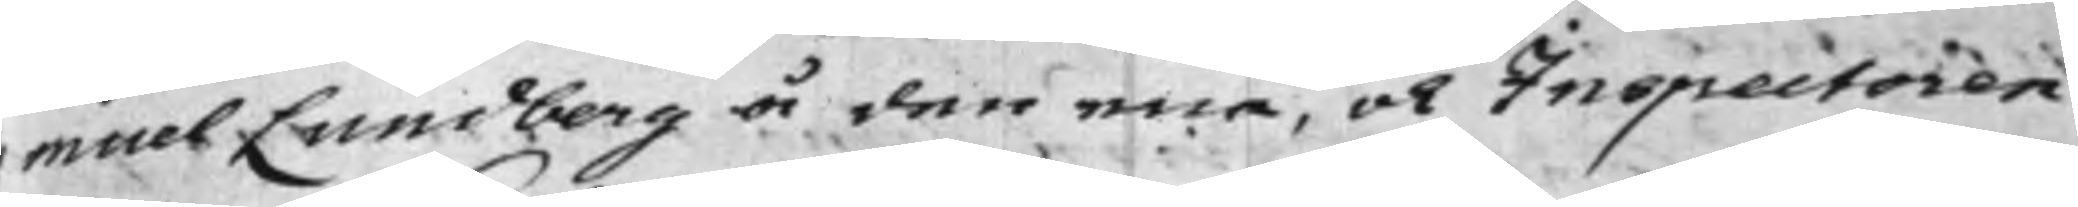muel Lundberg å den ena, och Inspectoren
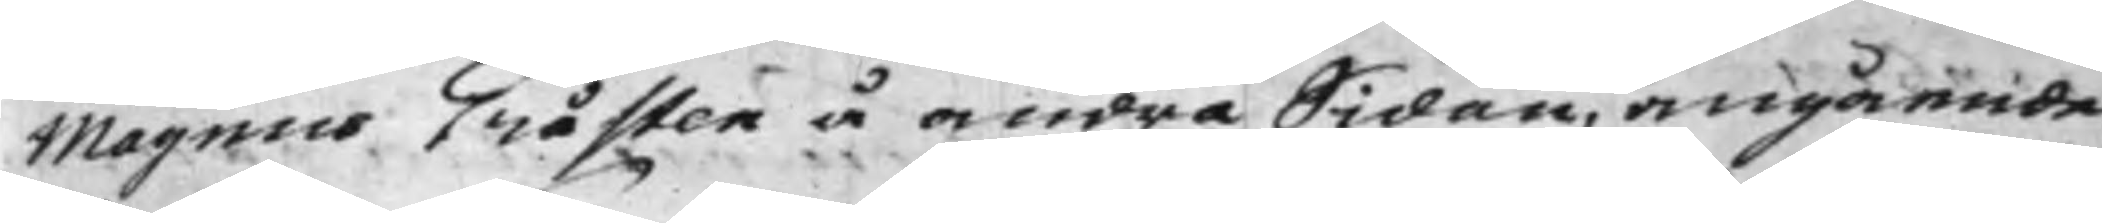Magnus Gråsten å andra Sidan, angående		
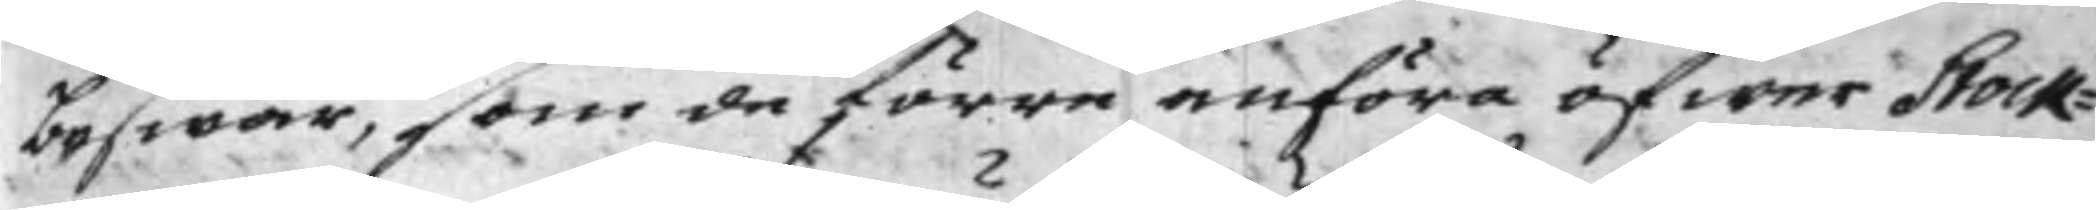beswär, som de förre anföra öfwer Stock¬
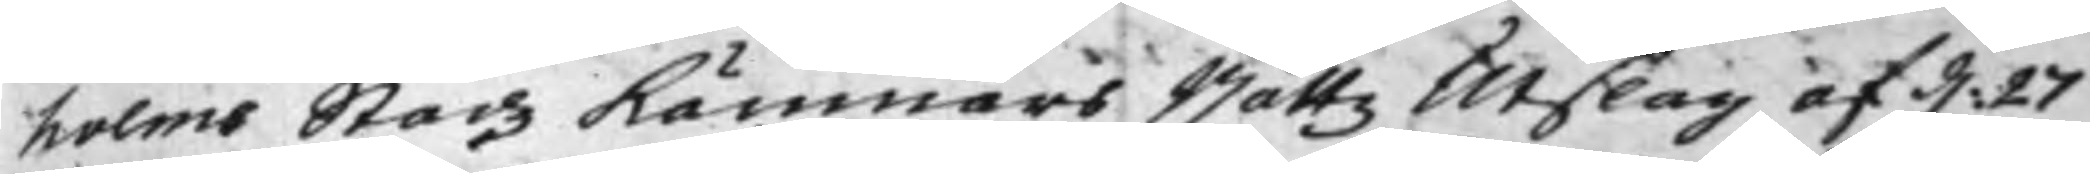holms Stadz Kämnärs Rättz Utslag af d: 27
